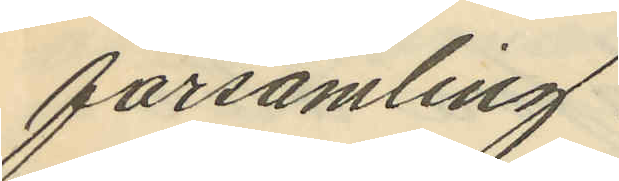församling.
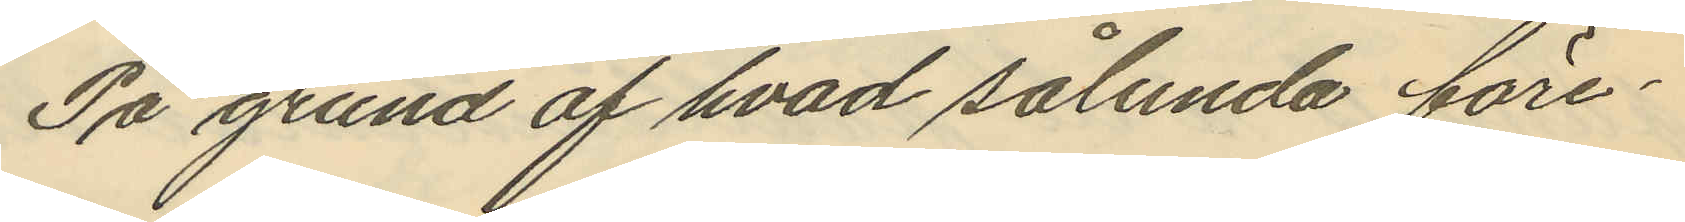På grund af hvad sålunda före¬
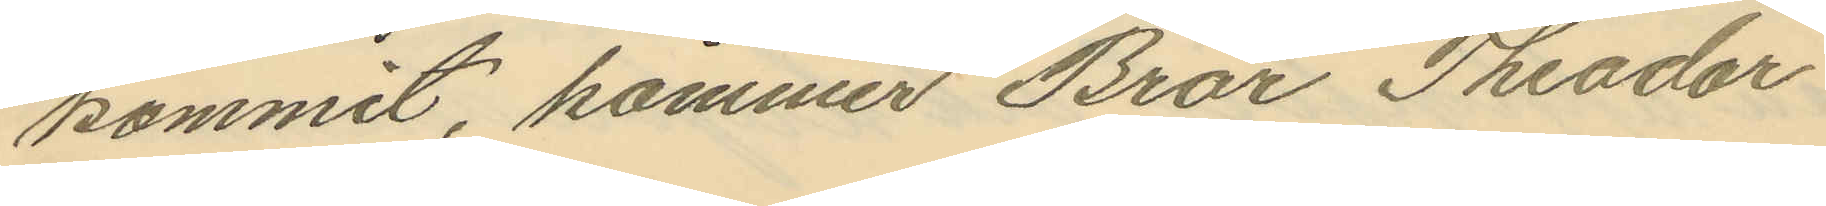kommit, kommer Bror Theodor
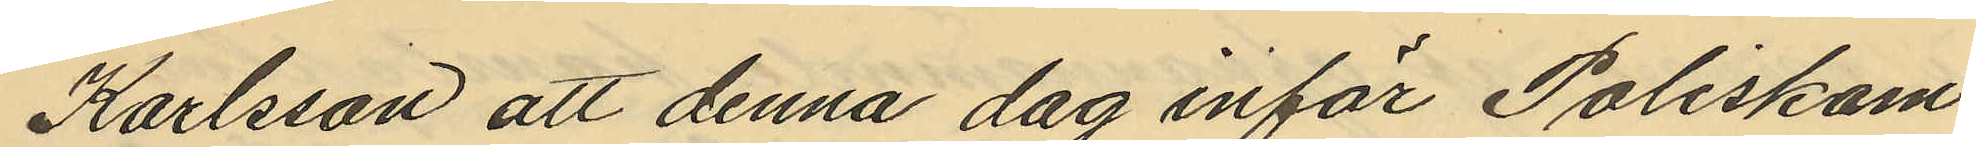Karlsson att denna dag inför Poliskam¬
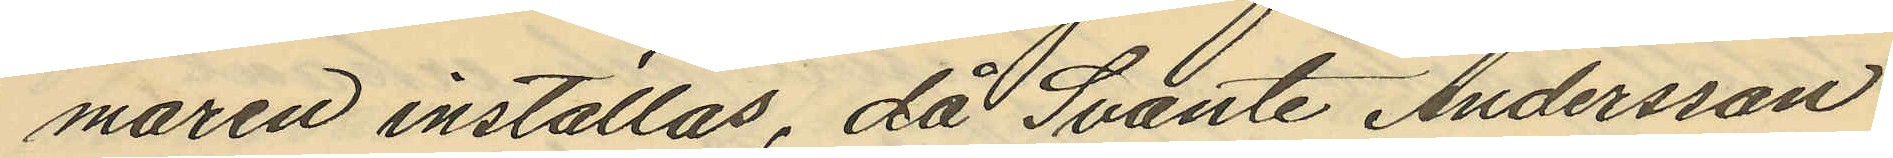maren inställas, då Svante Andersson
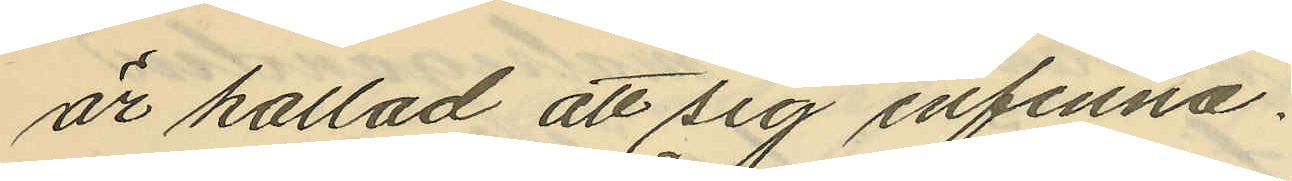är kallad att sig infinna.
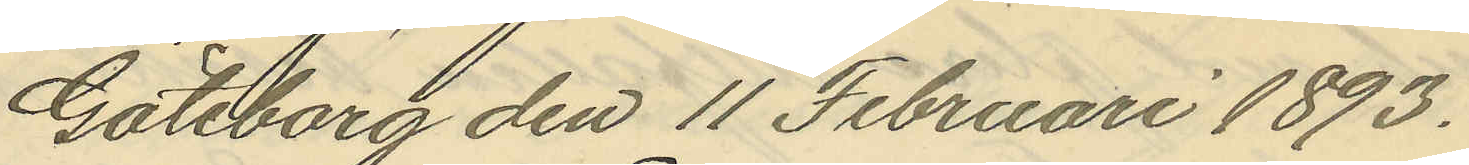Göteborg den 11 Februari 1893.
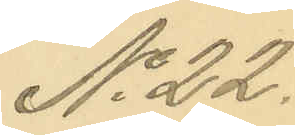No 22.
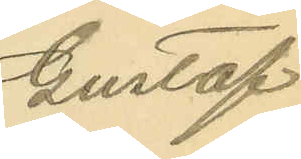Gustaf
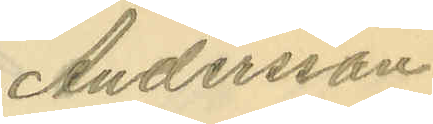Andersson
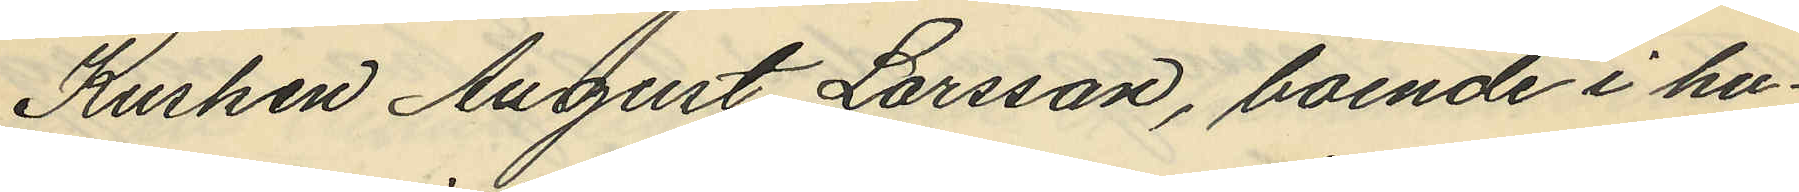Kusken August Larsson, boende i hu¬
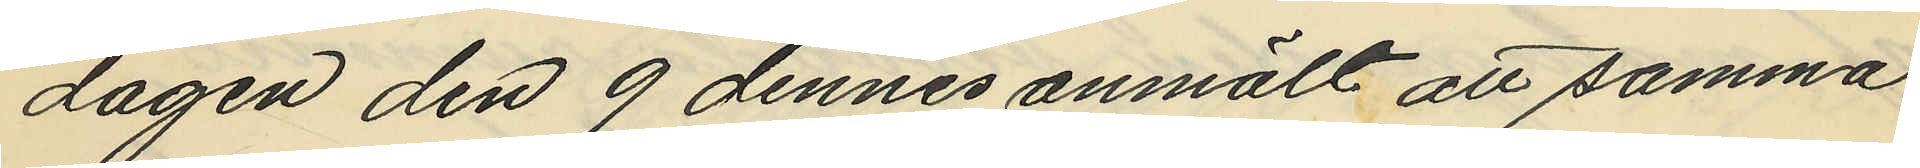dagen den 9 dennes anmält att samma
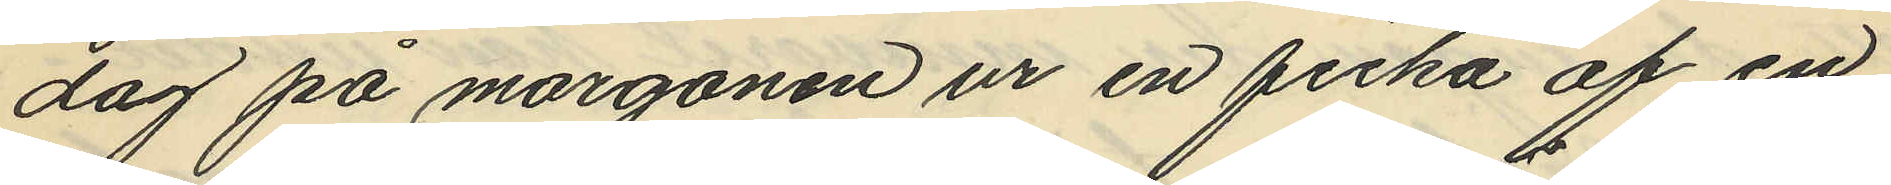dag på morgonen ur en ficka af en
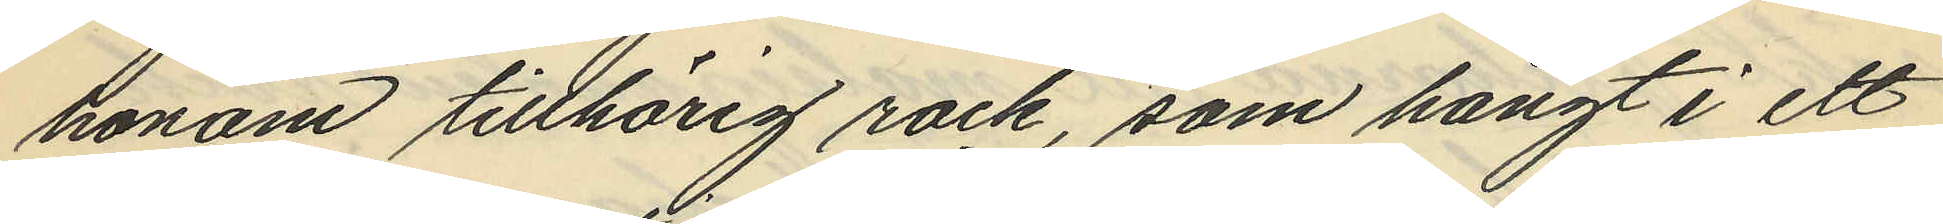honom tillhörig rock, som hängt i ett
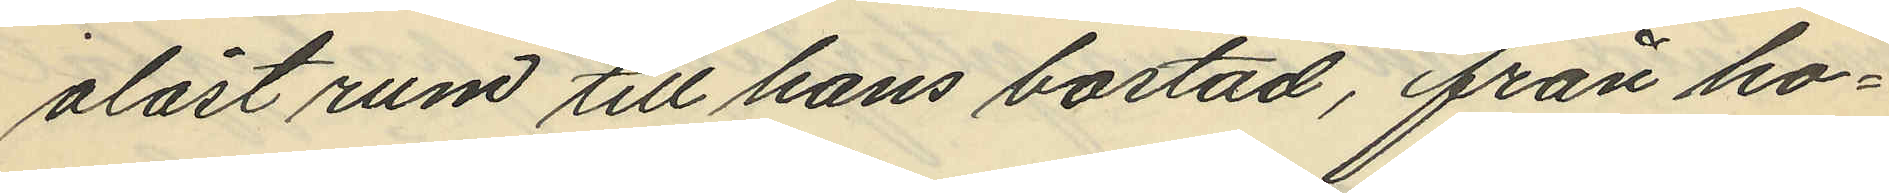olåst rum till hans bostad, från ho¬
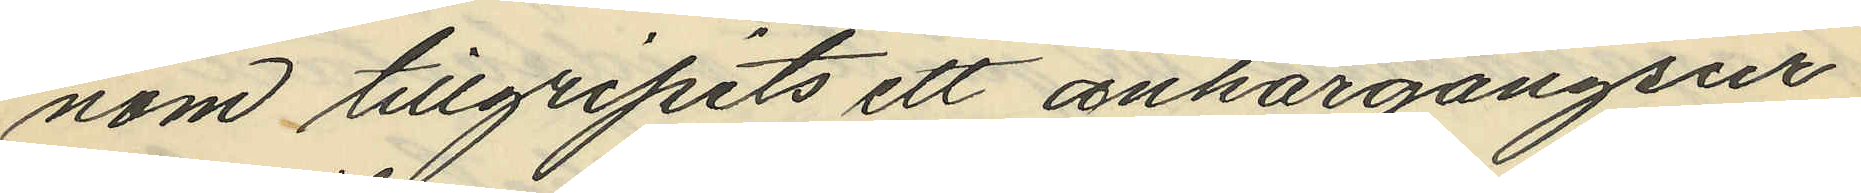nom tillgripits ett ankargångsur
